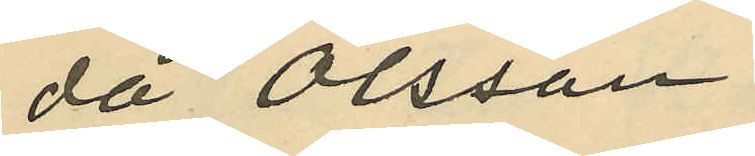då Olsson
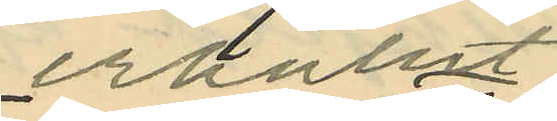erhållit
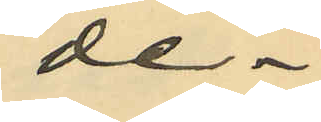de¬
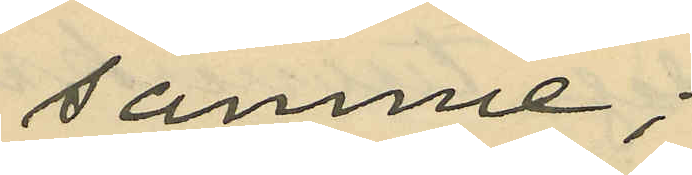samme;
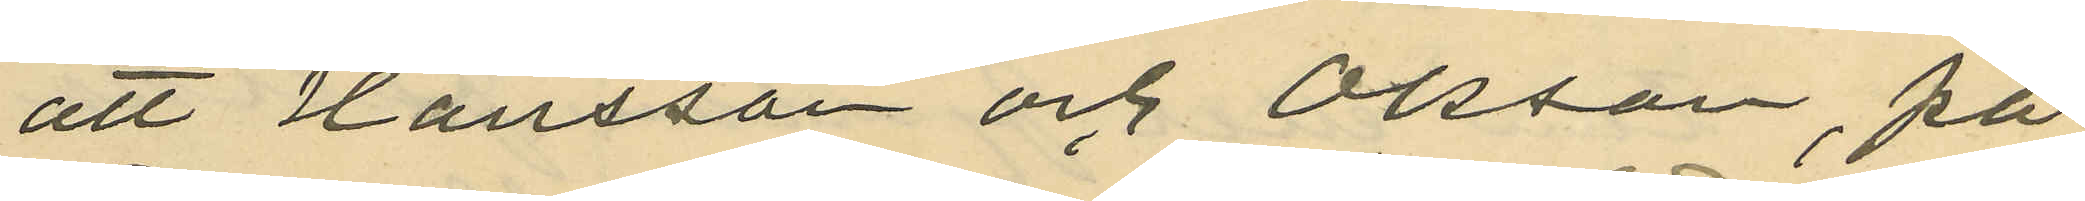att Hansson och Olsson, på
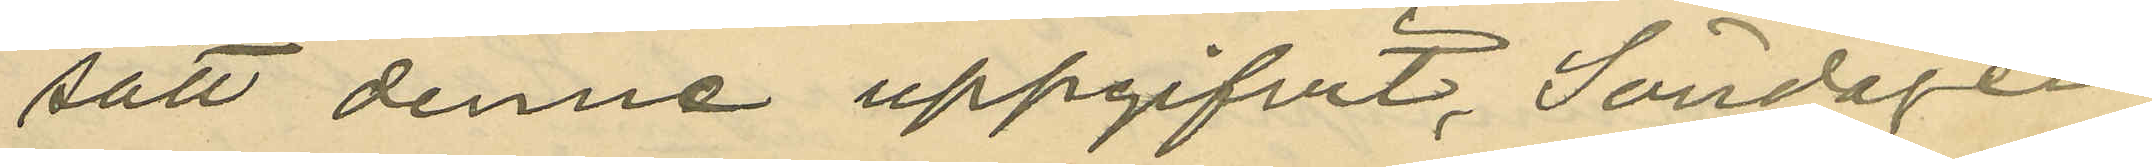sätt denne uppgifvit, Söndagen
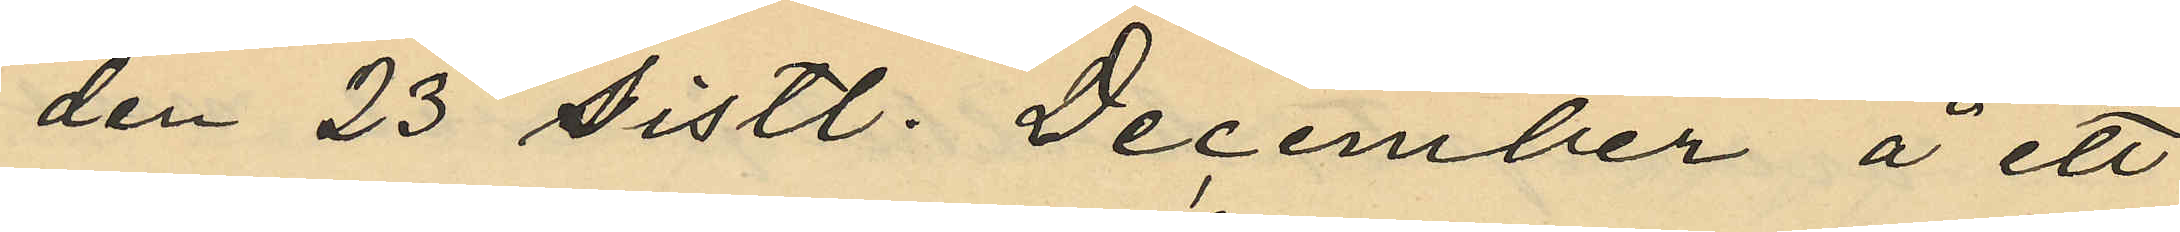den 23 sistl. December å ett
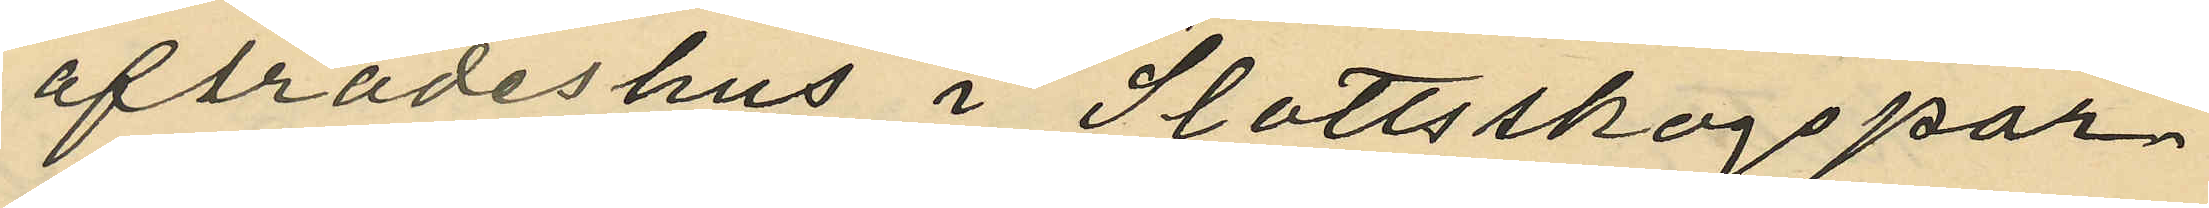afträdeshus i Slottsskogspar¬
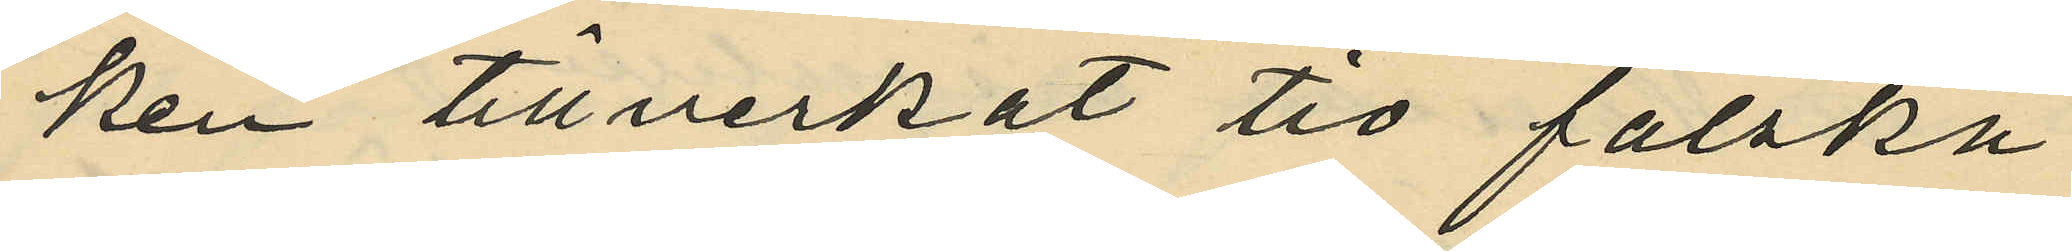ken tillverkat tio falska
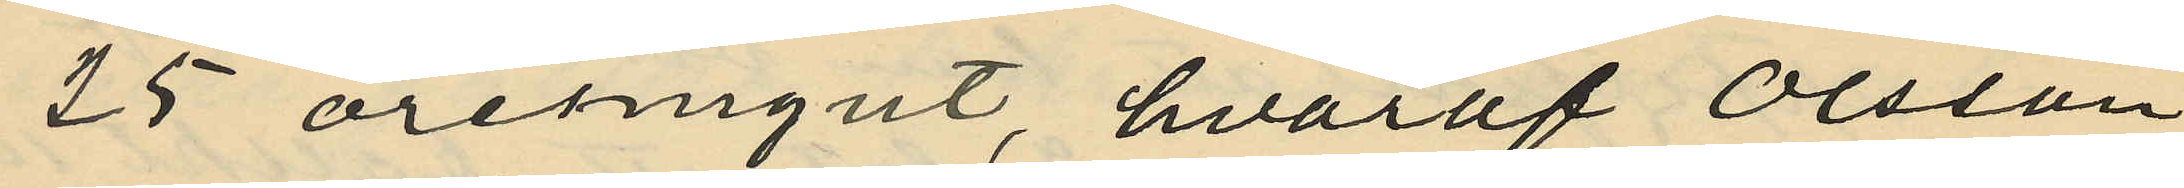25 öresmynt, hvaraf Olsson
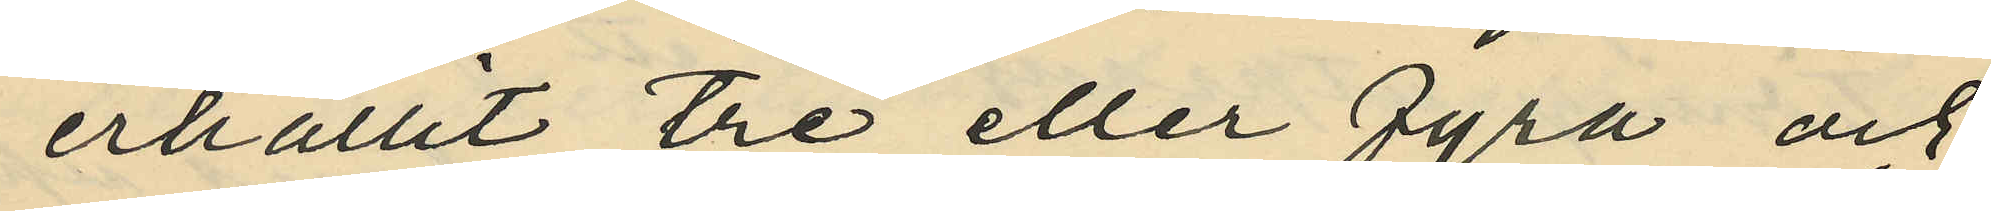erhållit tre eller fyra och
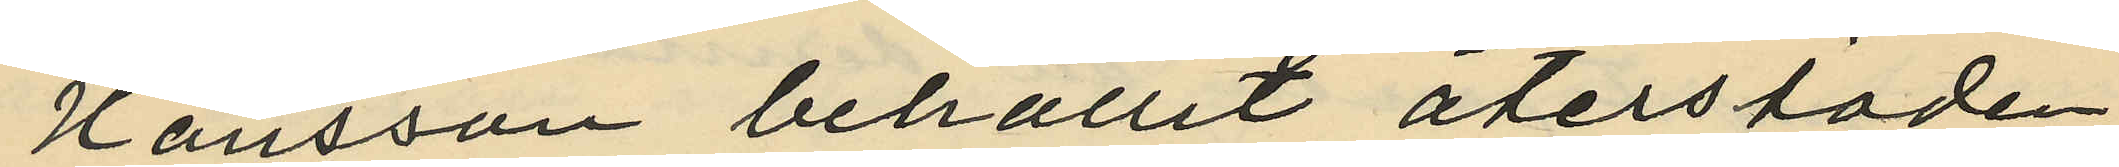Hansson behållit återstoden,
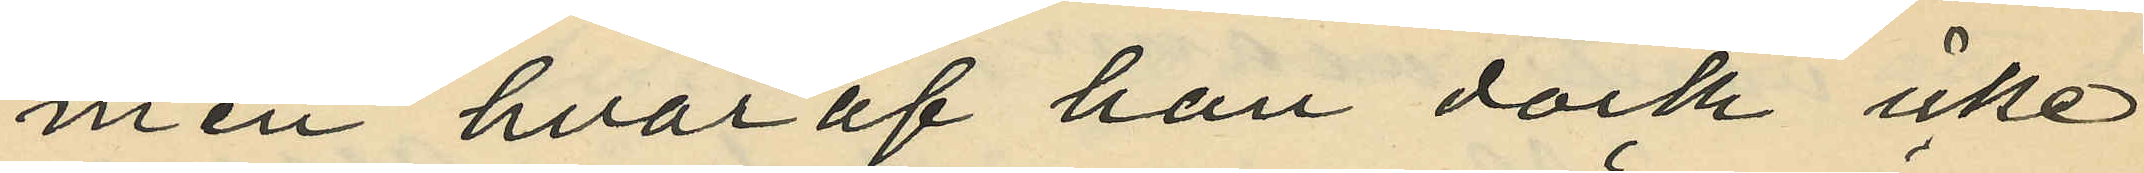men hvaraf han dock icke
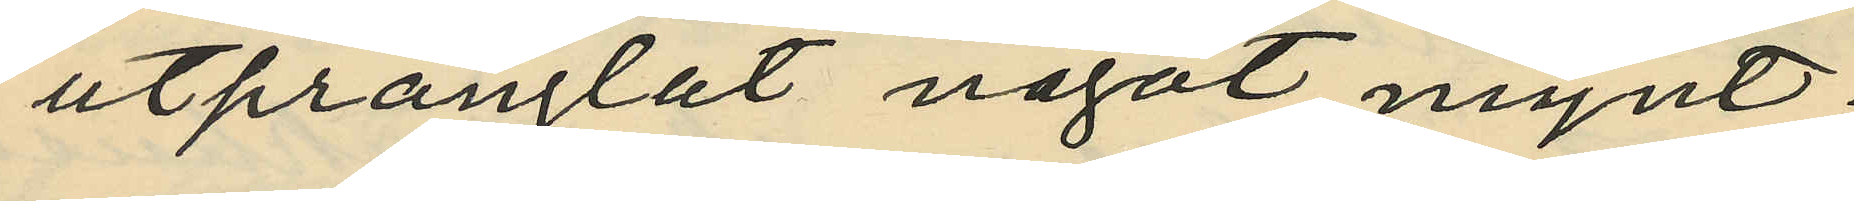utprånglat något mynt;
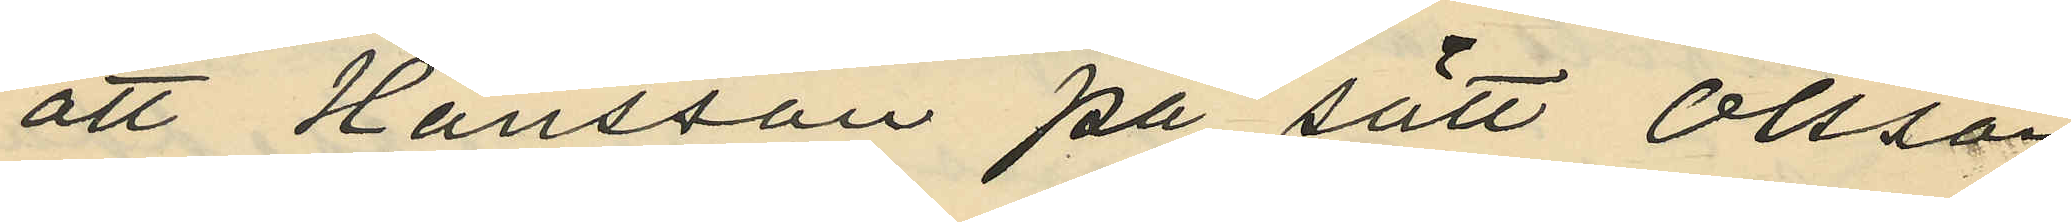att Hansson på sätt Olsson
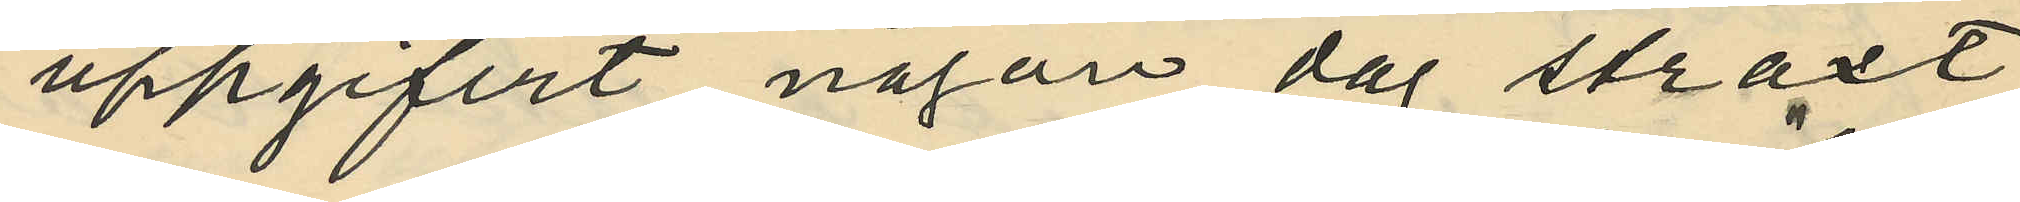uppgifvit någon dag straxt
